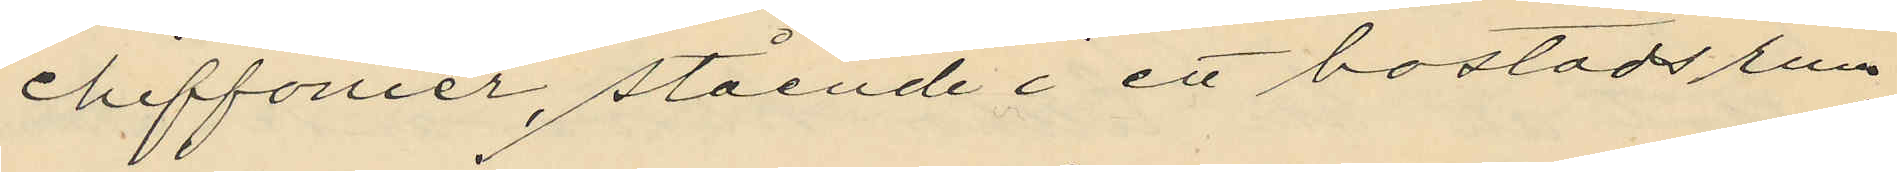cheffonier, stående i ett bostadsrum
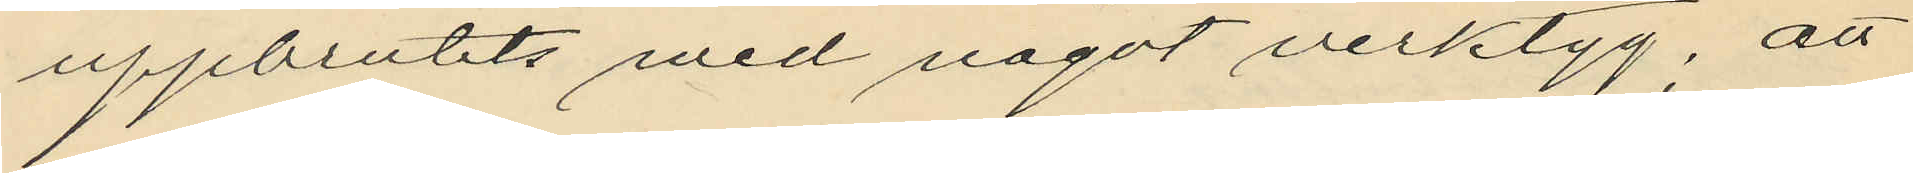uppbrutits med något verktyg; att
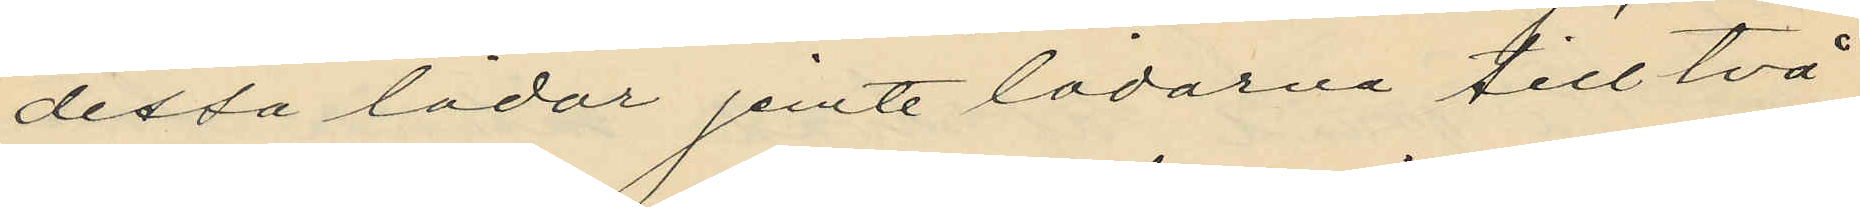dessa lådor jemte lådorna till två
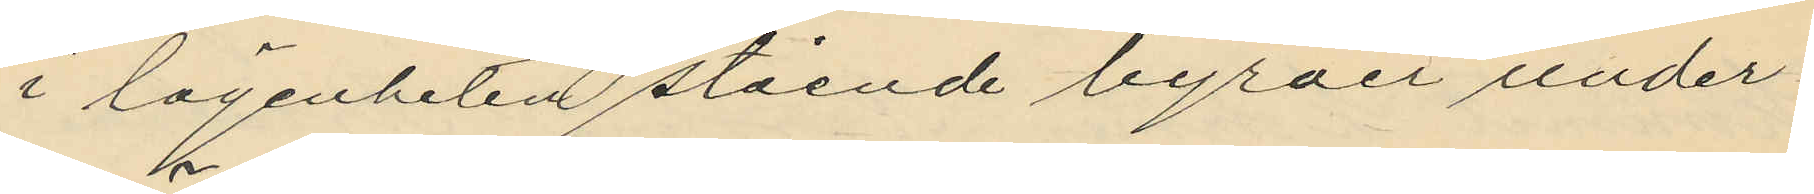i lägenheten stående byråer under¬
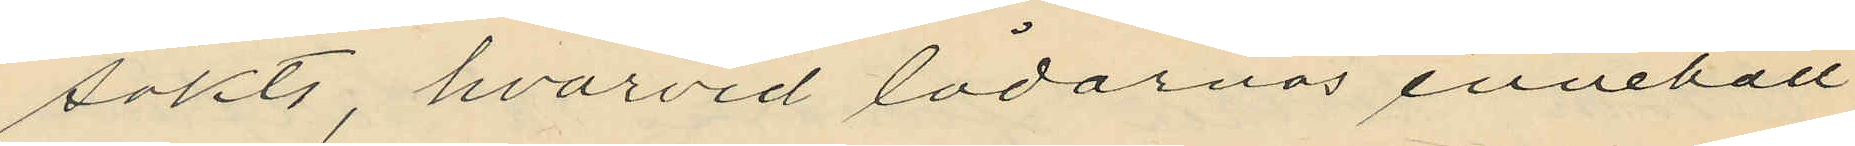sökts, hvarvid lådornas innehåll
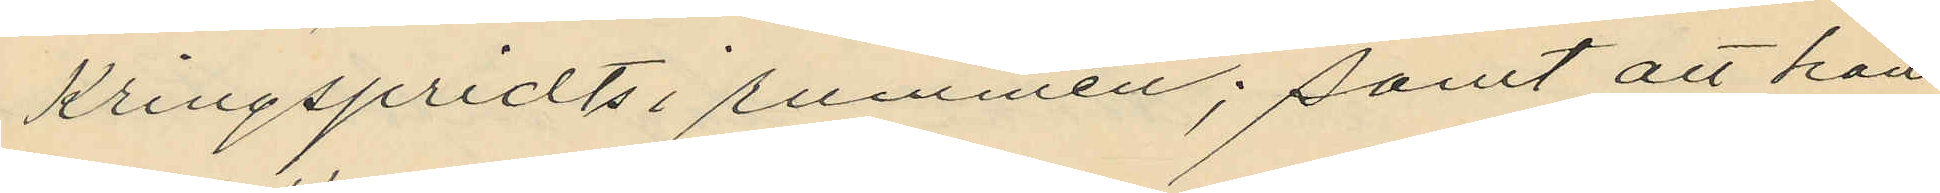kringspridts i rummen; samt att hon
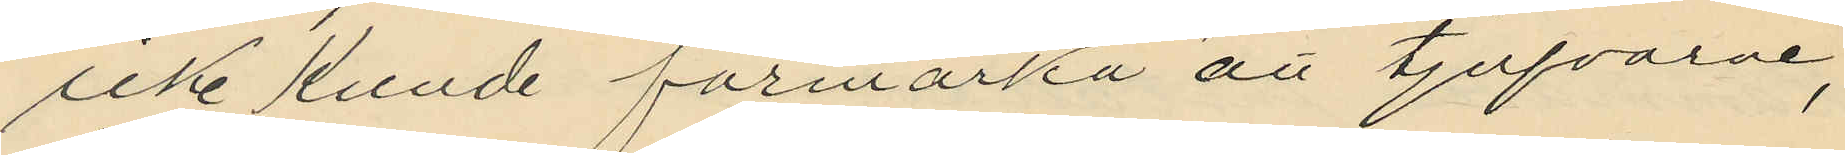icke kunde förmärka att tjufvarne,
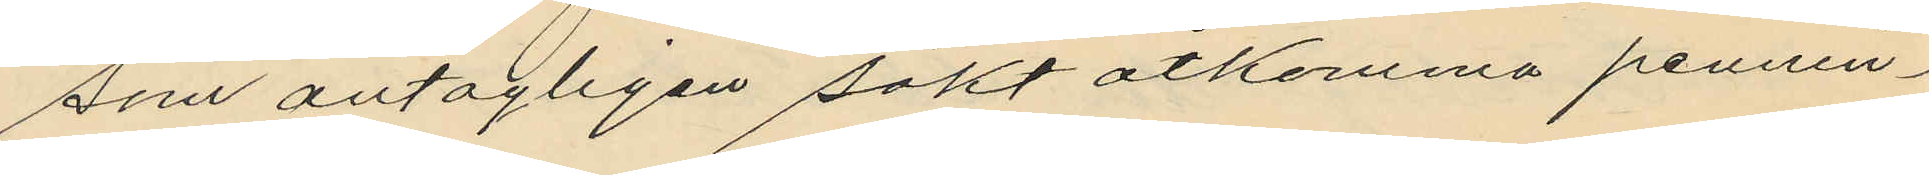som antagligen sökt åtkomma pennin¬
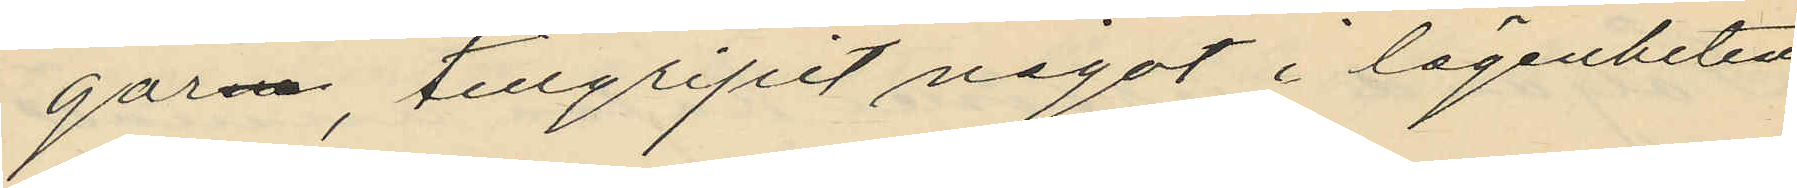garne, tillgripit något i lägenheten
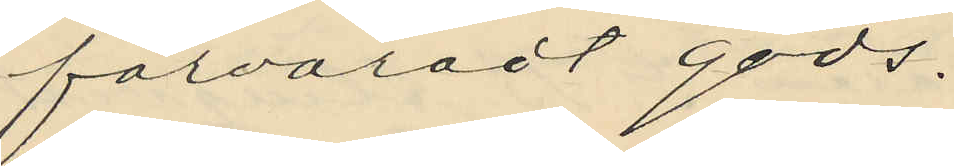förvaradt gods.
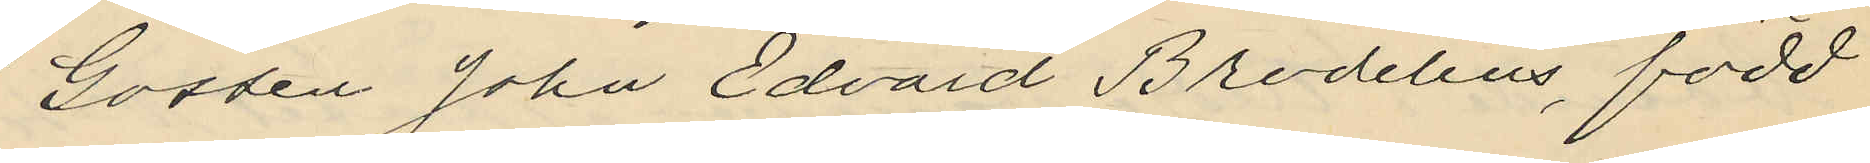Gossen John Edvard Brodelius, född
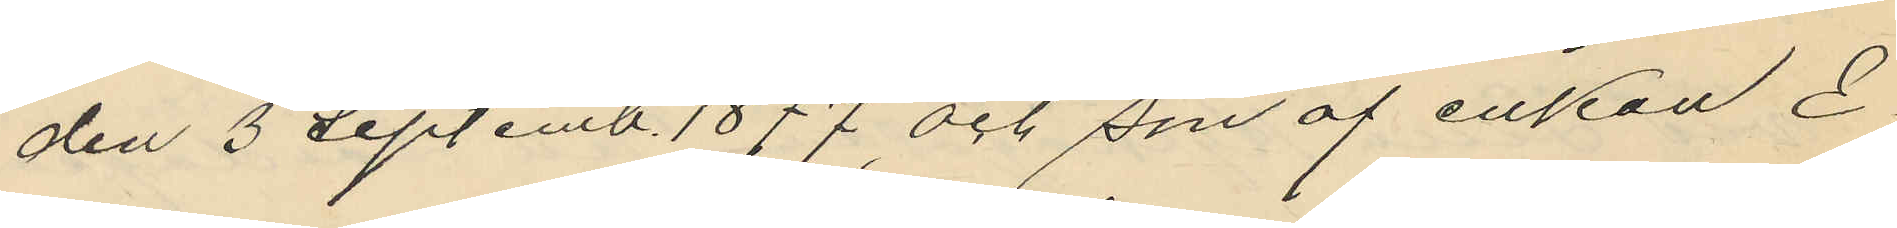den 3 Septemb. 1877 och son af enkan E¬
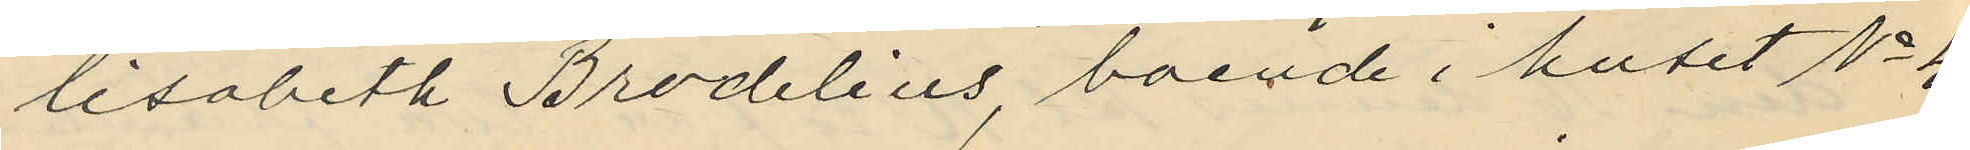lisabeth Brodelius, boende i huset No 4
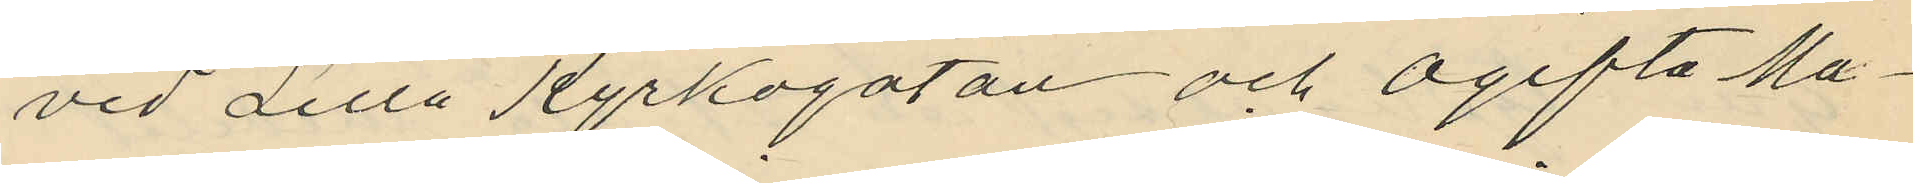vid Lilla Kyrkogatan och ogifta Ma¬
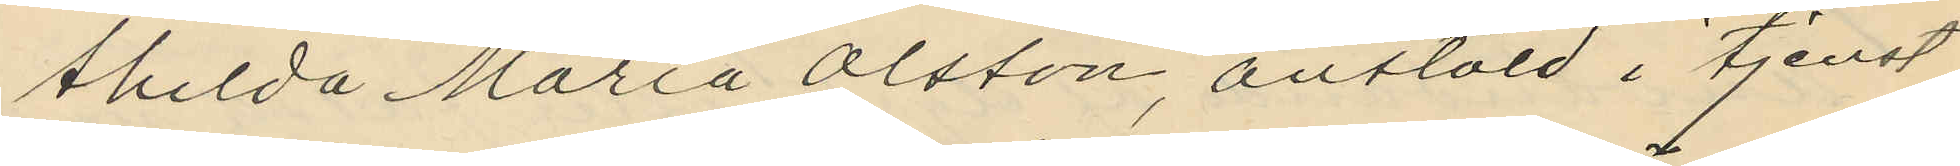thilda Maria Olsson, anstäld i tjenst
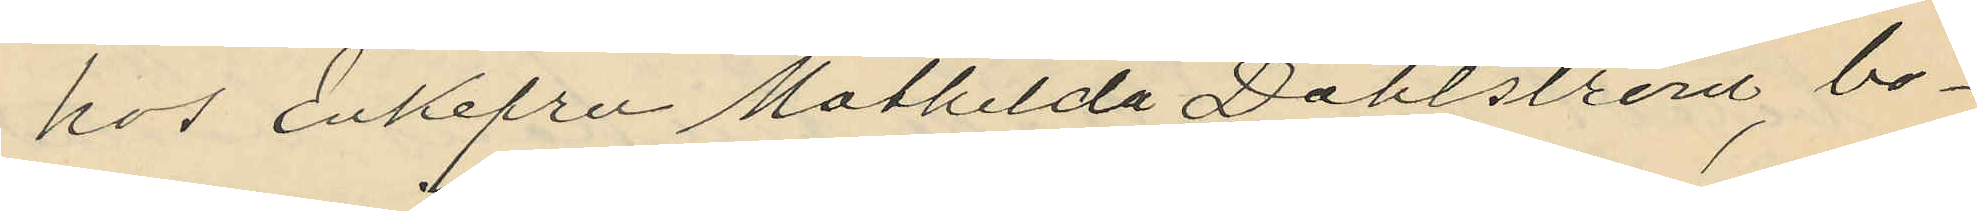hos Enkefru Mathilda Dahlström; bo¬
